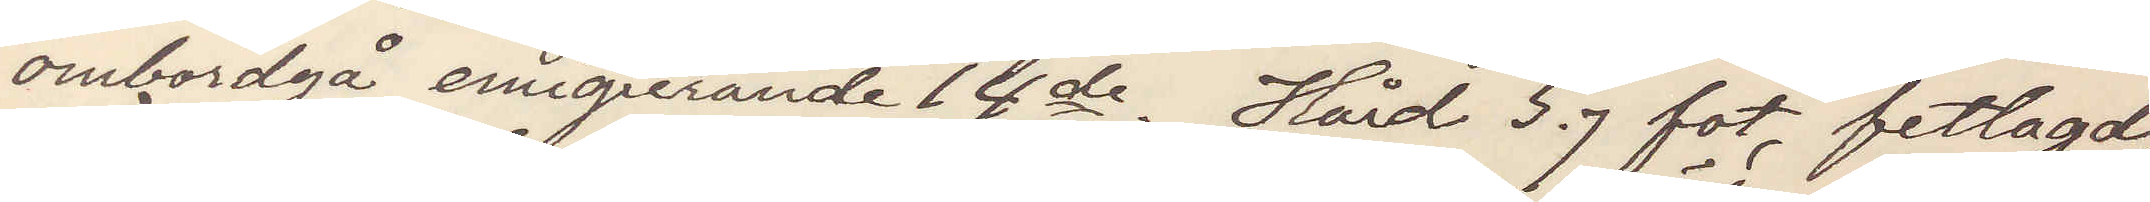ombordgå emigrerande 14de. Hård 5,7 fot, fetlagd,
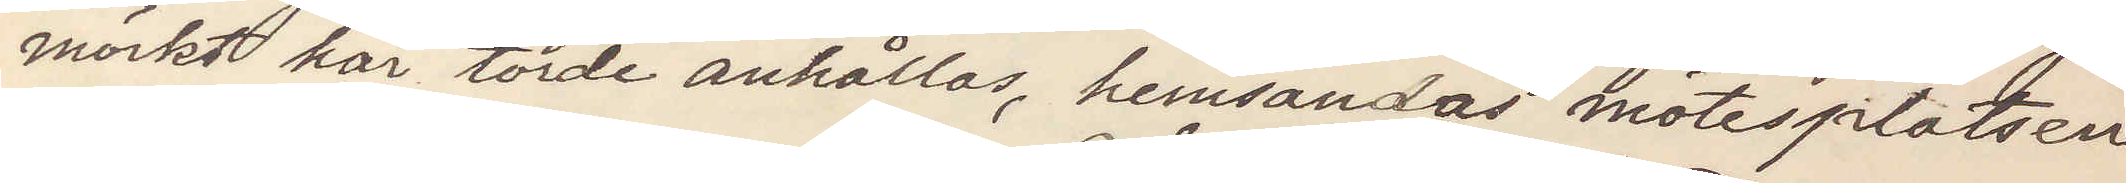mörkt hår torde anhållas, hemsandas mötesplatsen
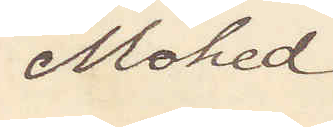Mohed.
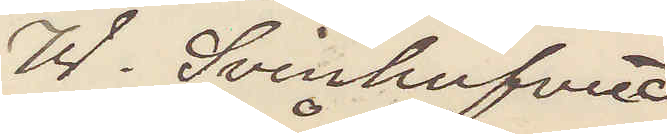W. Svinhufvud
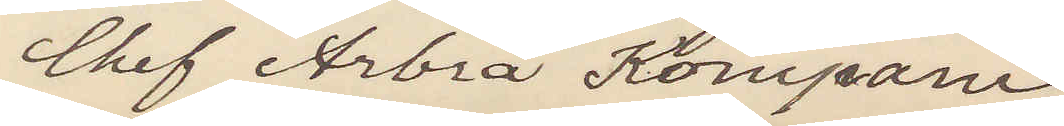Chef Arbrå Kompani
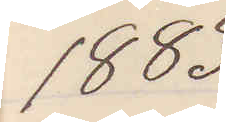1883
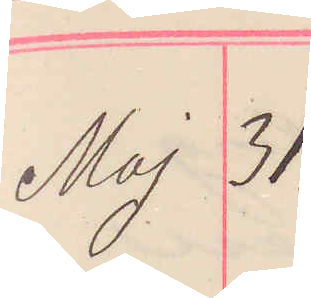Maj 31.
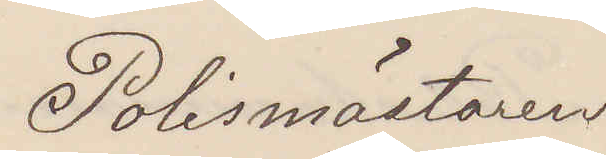Polismästaren 
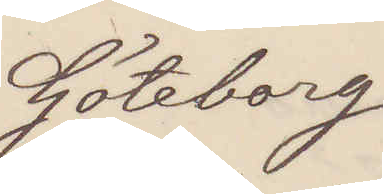Göteborg
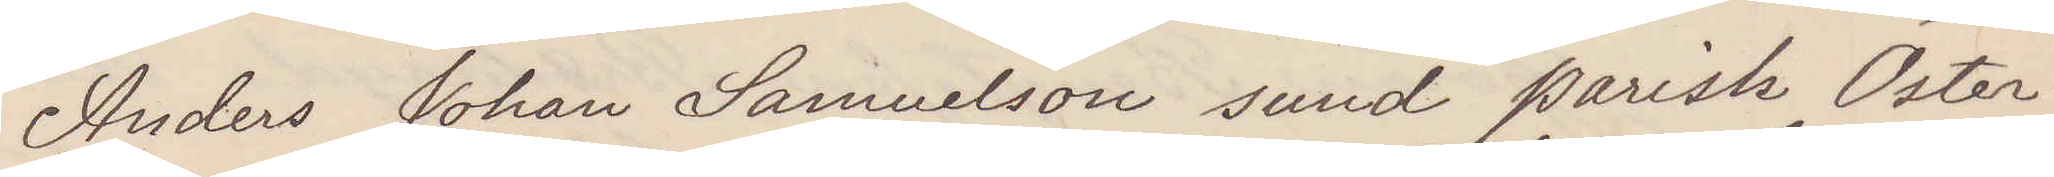Anders Johan Samuelsson sund parish Öster¬
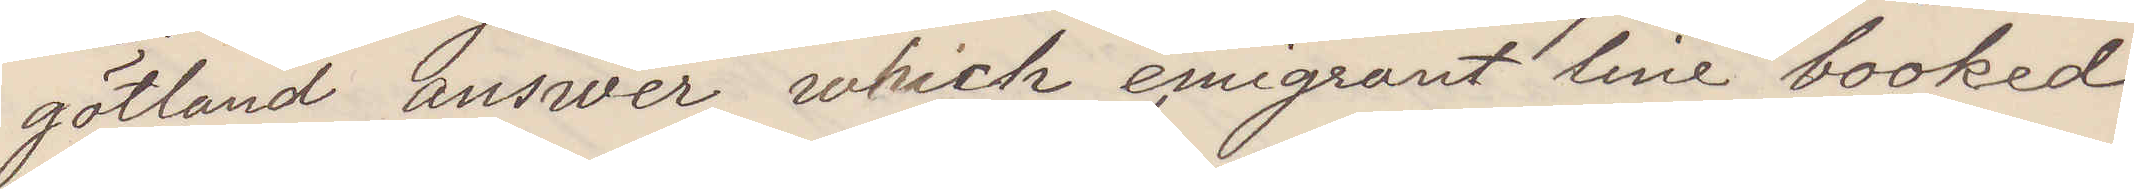götland answer which emigrant line booked
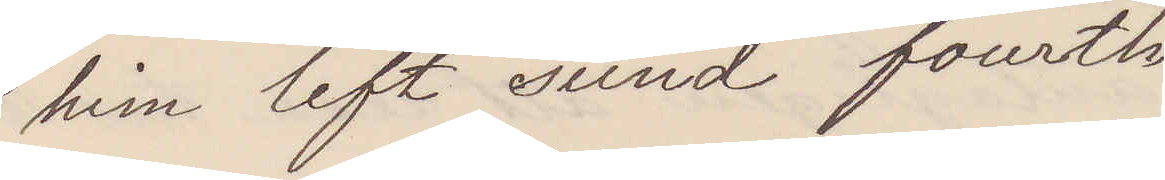him left sund fourth
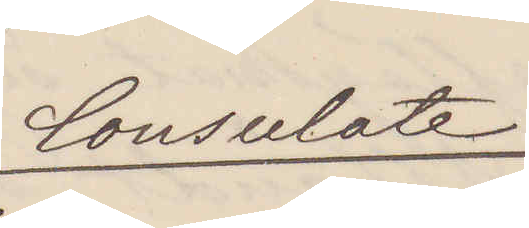Consulate
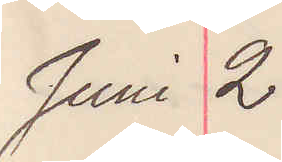Juni 2.
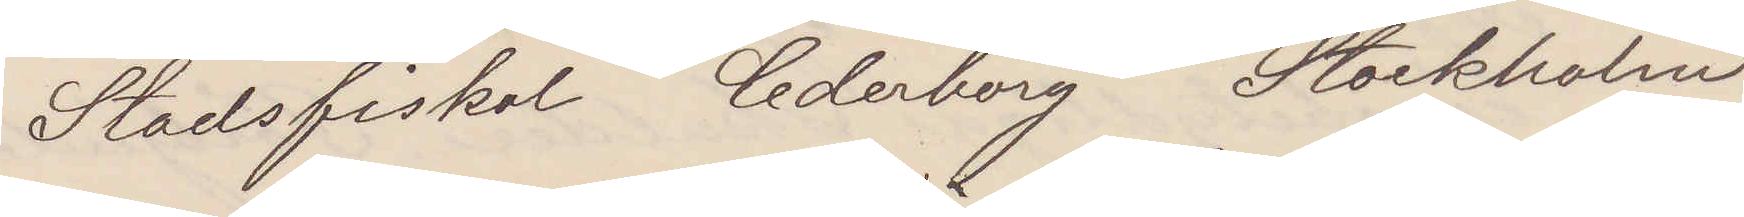Stadsfiskal Cederborg Stockholm
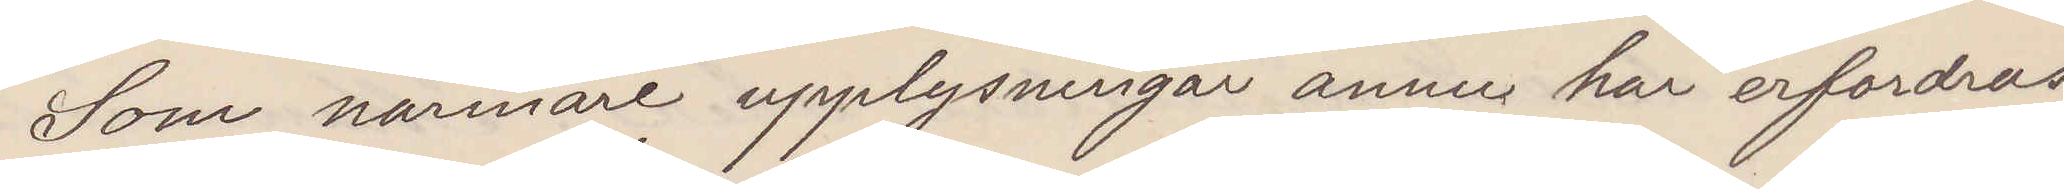Som närmare upplysningar ännu här erfordras,
